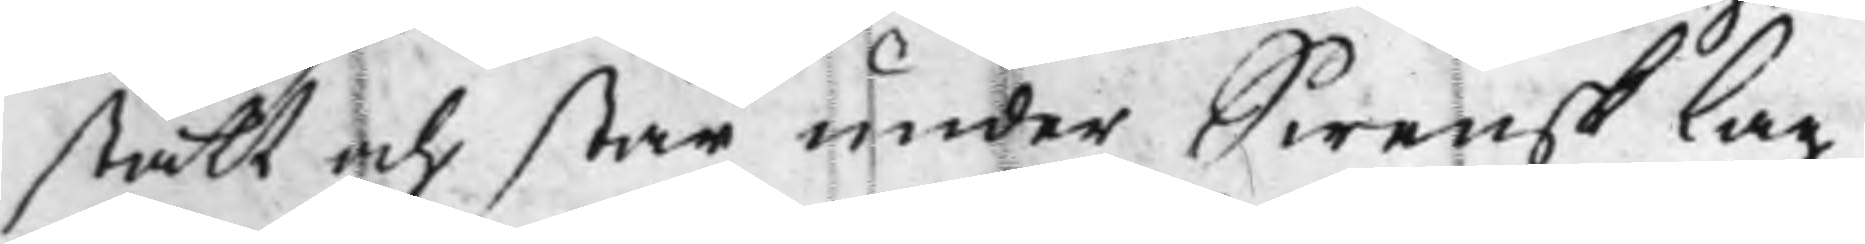stått och står under Swensk Lag
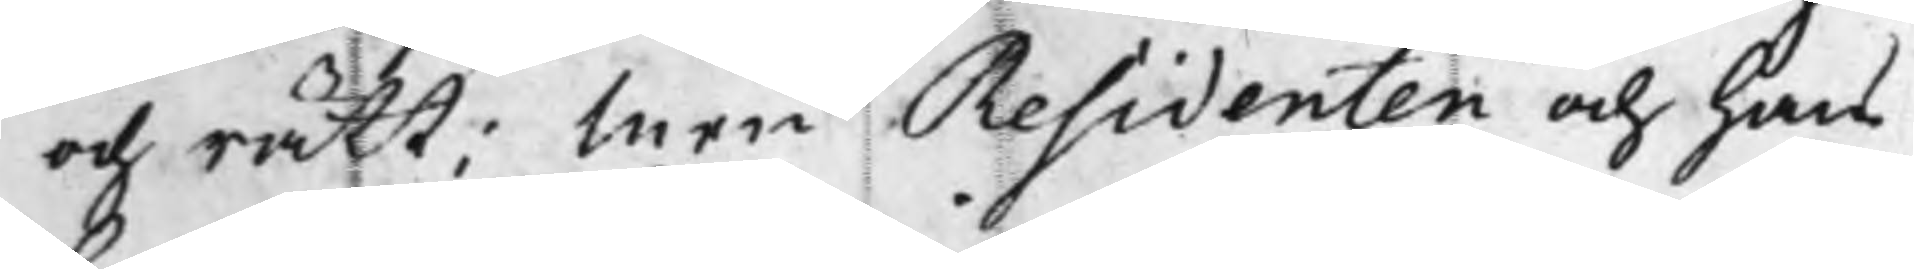och rätt; Men Residenten och hans
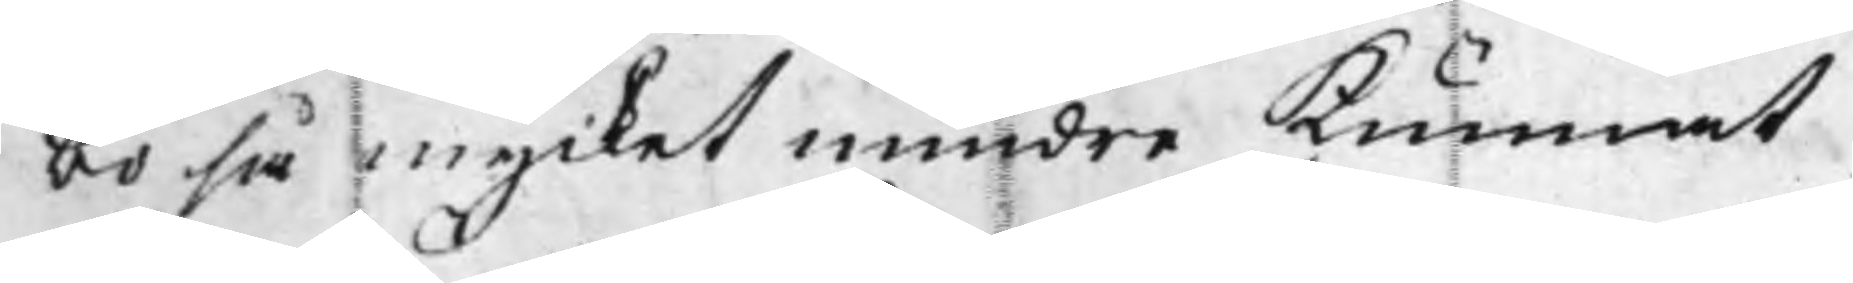bo så mycket mindre Kunnat
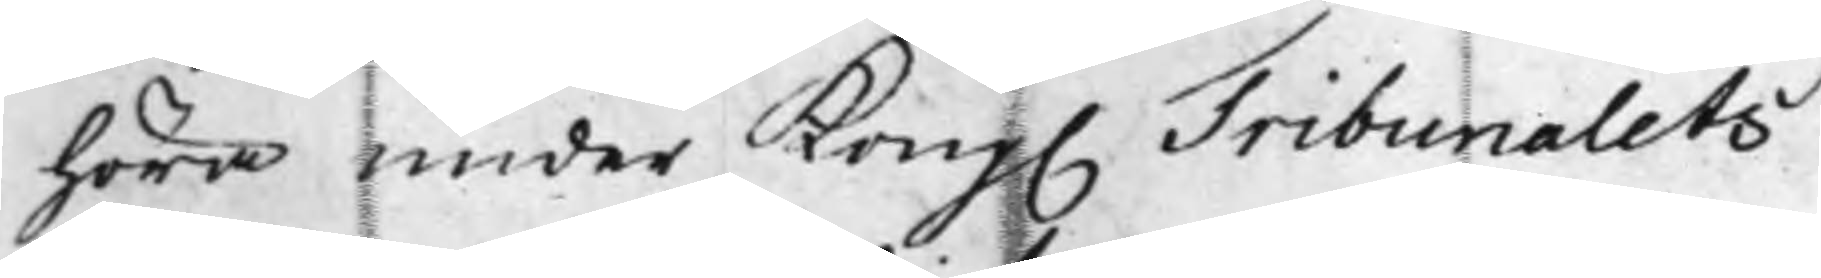höra under Kong. Tribunalets 
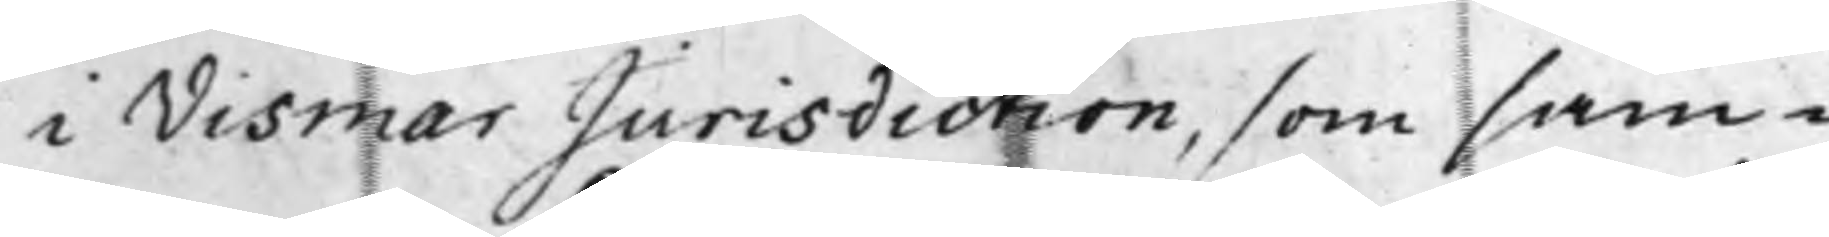i Vismar Jurisdiction, som sam¬
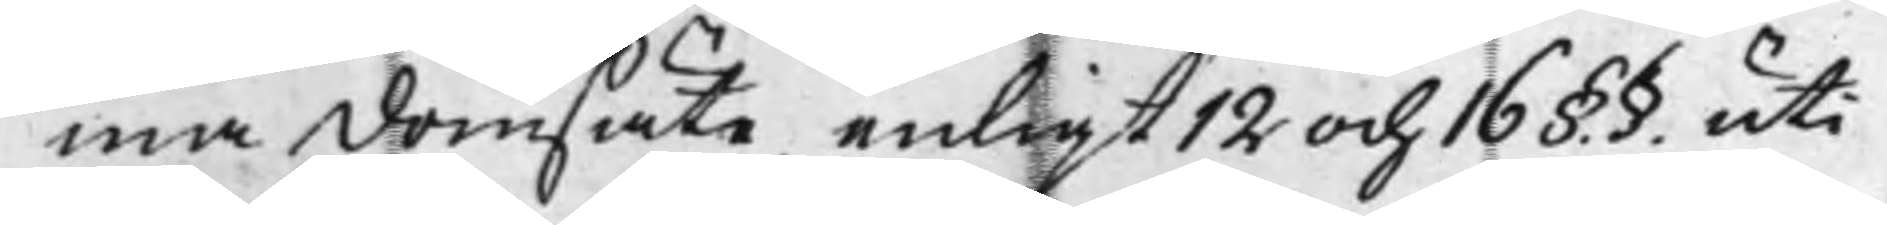ma Domsäte, enligt 12 och 16§.§. uti
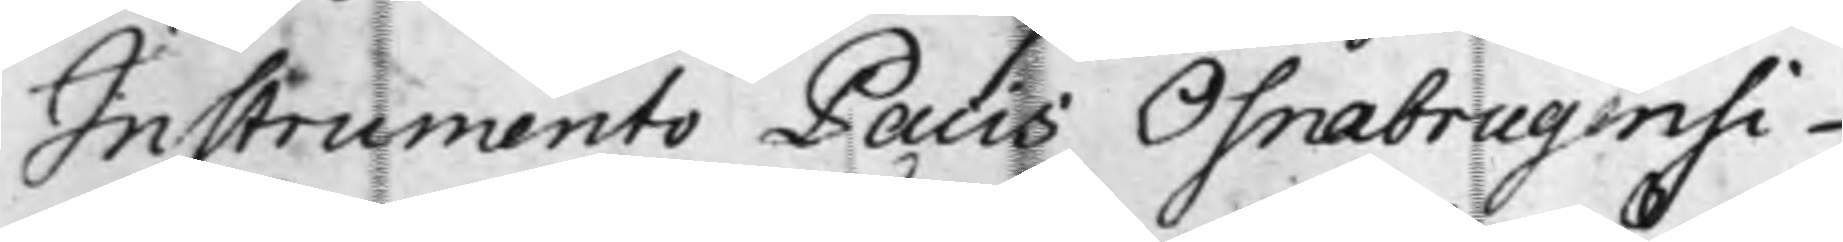Instrumento Pacis Osnabrugensi
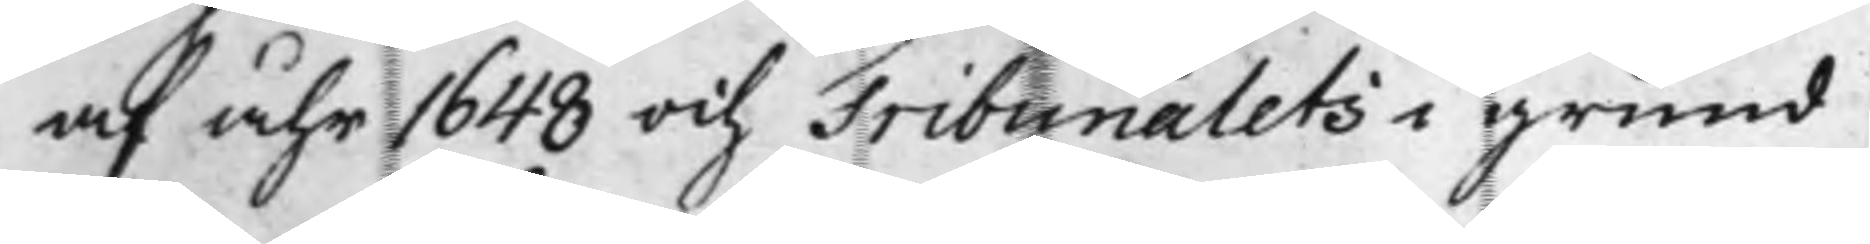af åhr 1648 och Tribunalets i grund
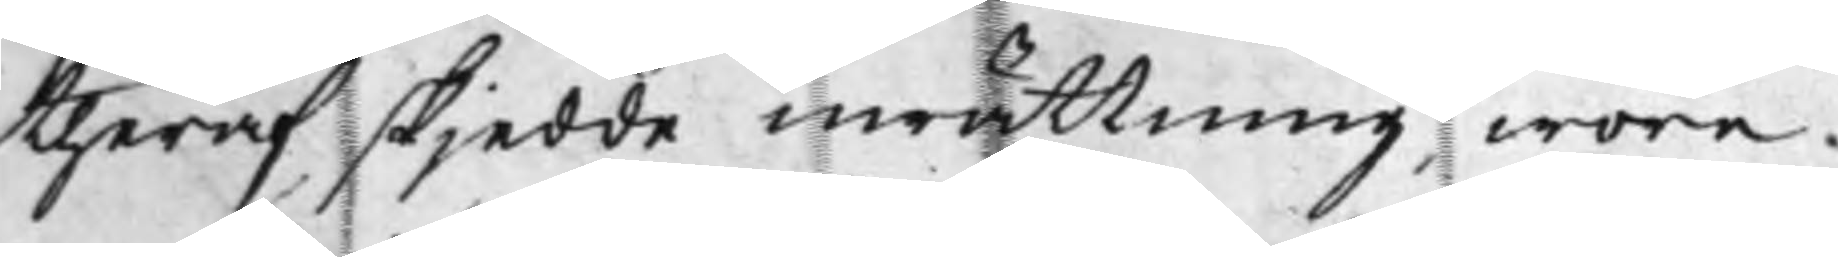theraf skjedde inrättning wore
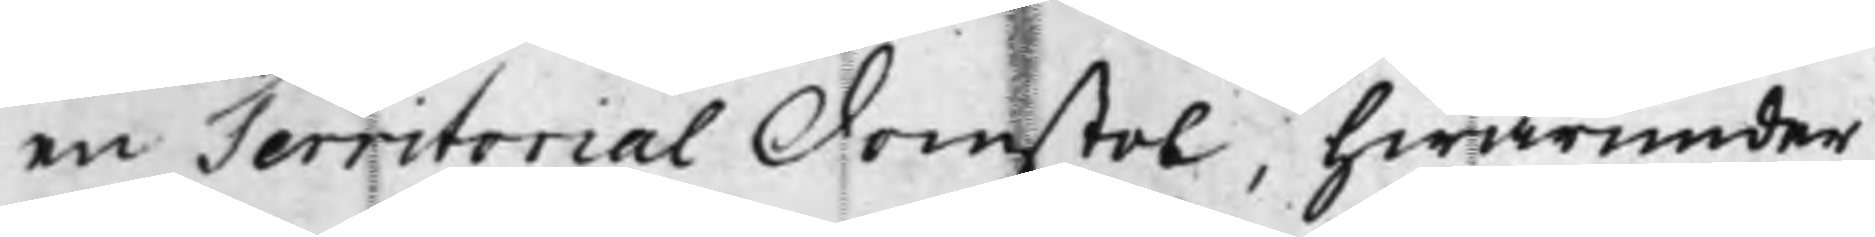en Territorial Domstol, hwarunder
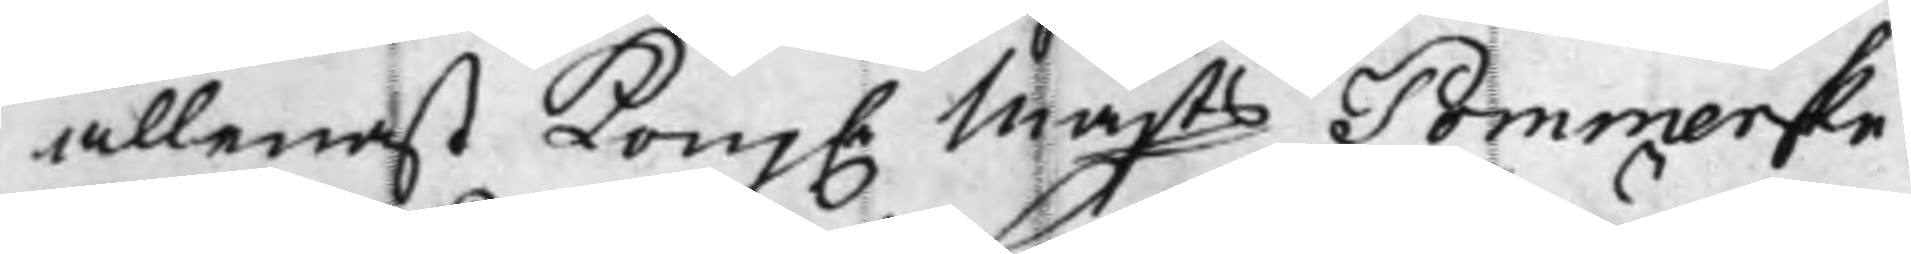allenast Kong. Majts Pommerske 
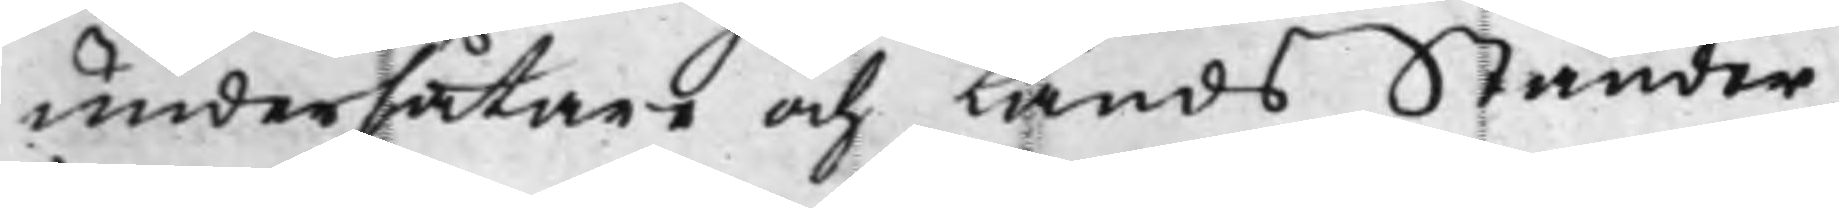undersåtare och LandsStänder,
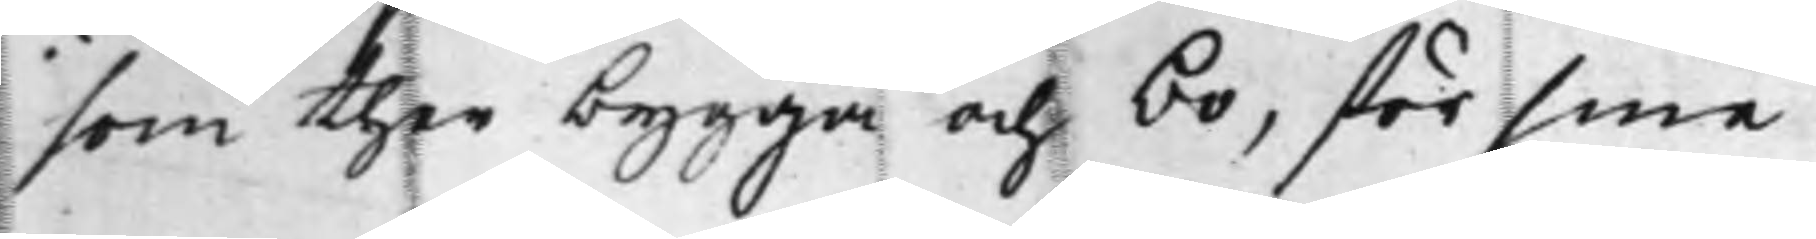som ther bygga och bo, för sine
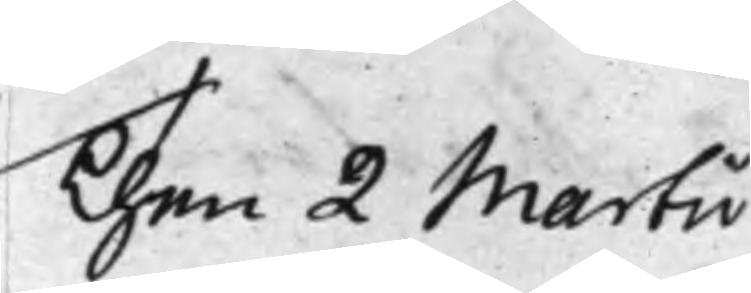Then 2 Martii
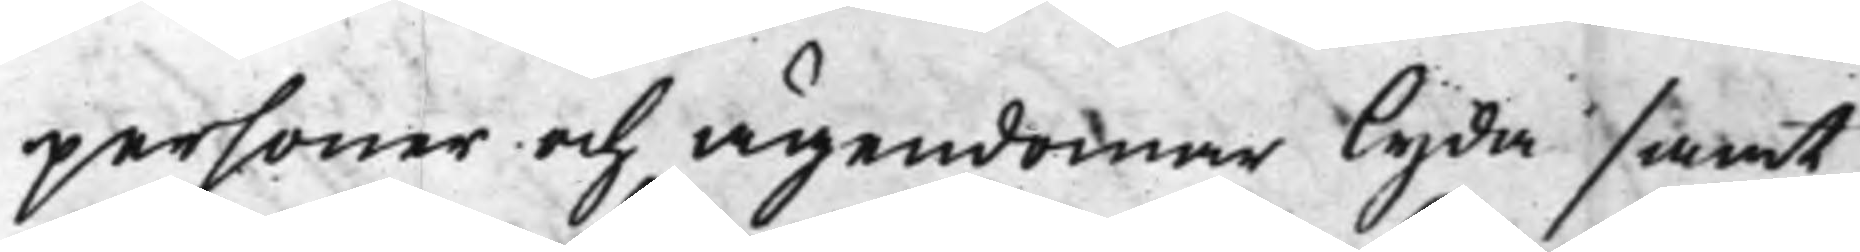personer och ägendomer lyda samt
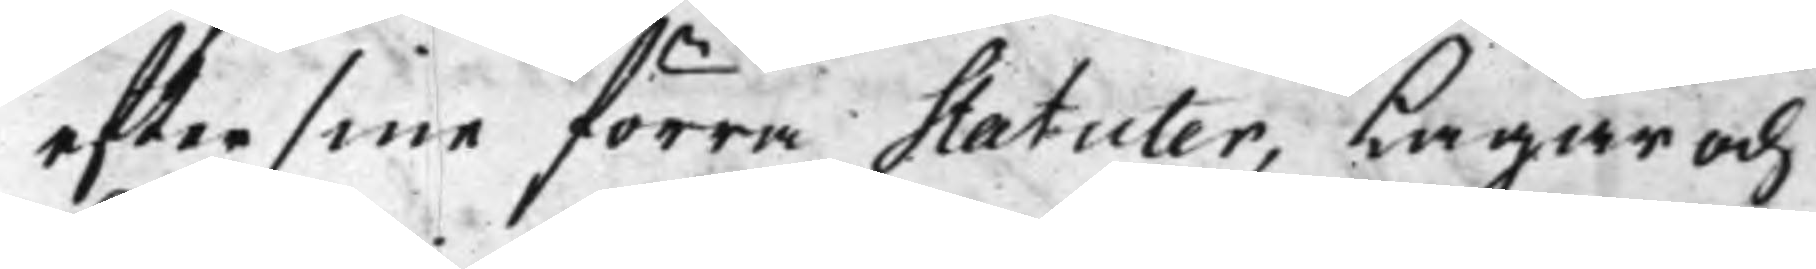efter sine förra statuter, Lagar och
